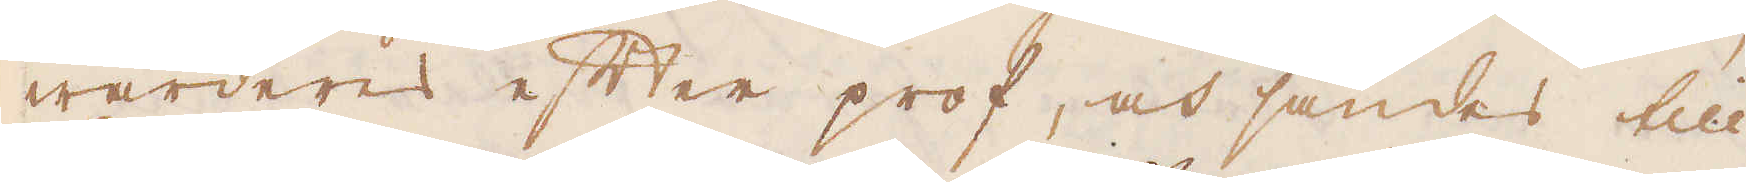wärderes efter prof, och sändes till
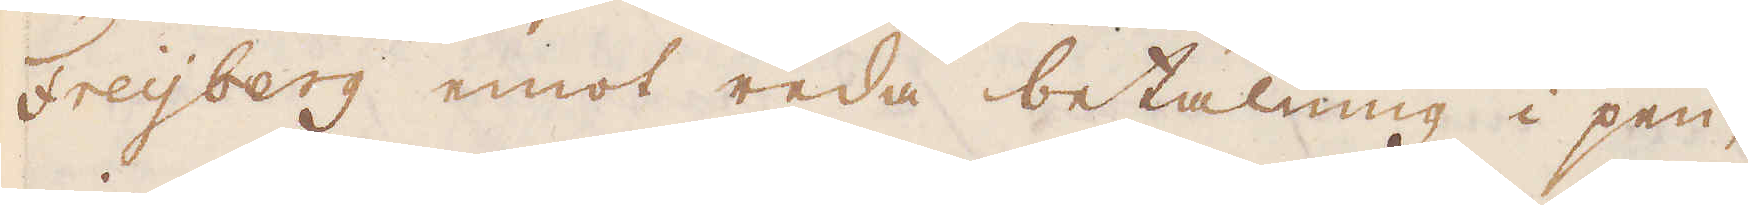Freijberg emot reda betalning i pen-
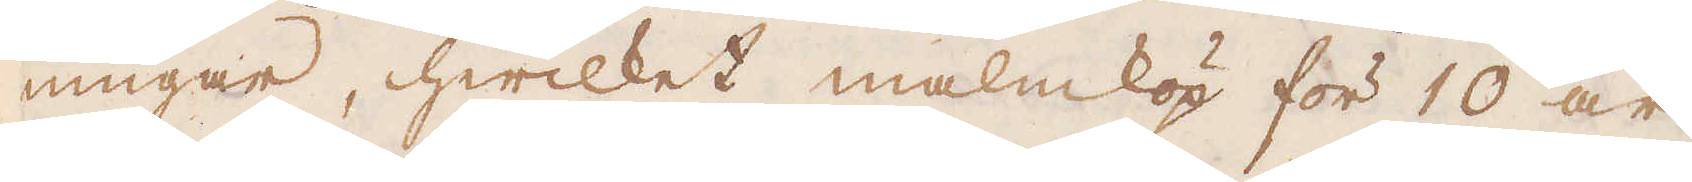ningar, hwilket malmköp för 10 år
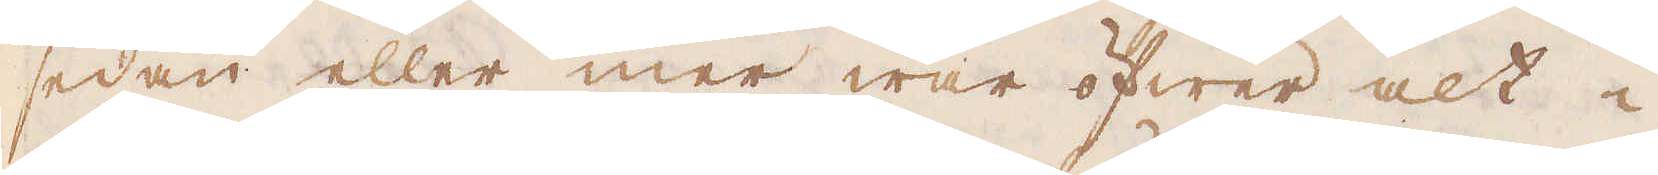sedan eller mer war öfwer alt i
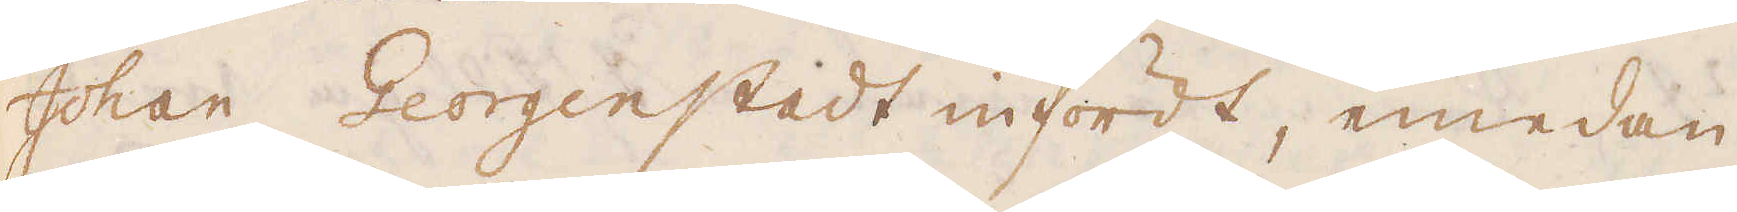Johan Georgenstadt infördt, emedan
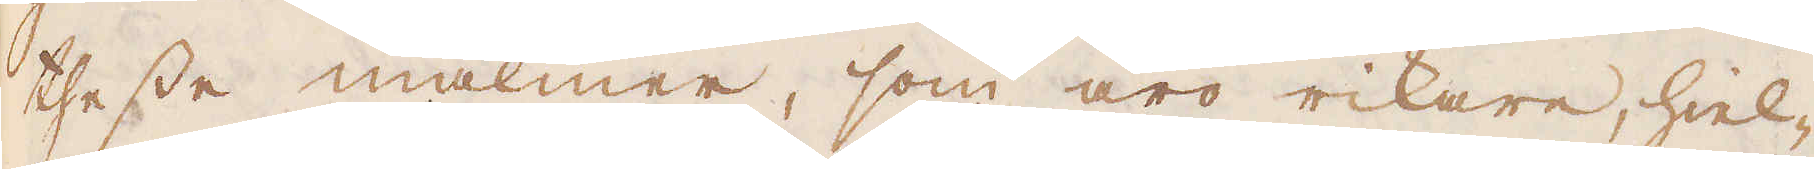thesse malmer, som äro rikare, hiel-
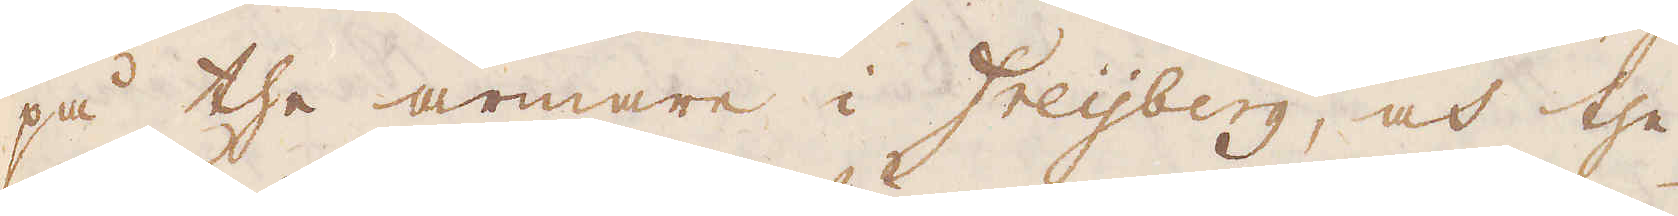på the armare i Freijberg, och the
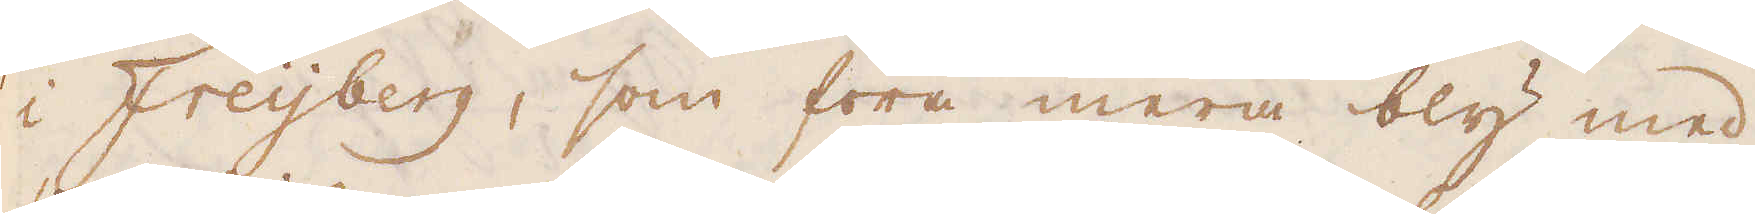i Freijberg, som föra mera bly med
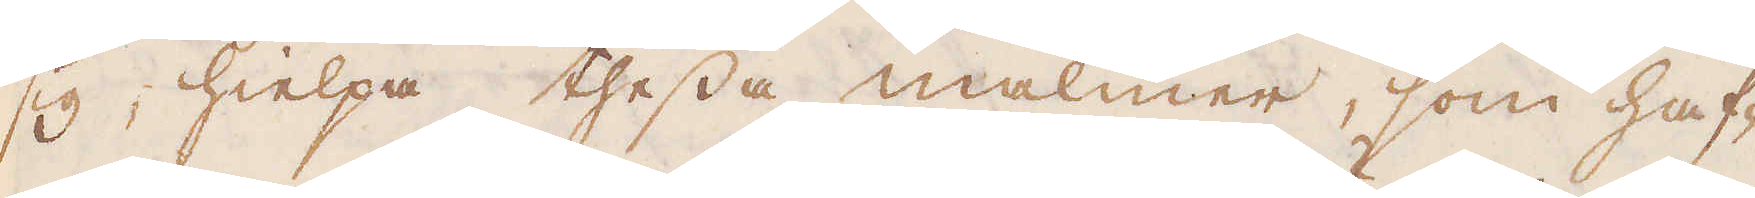sig hielpa thessa malmer, som haf-
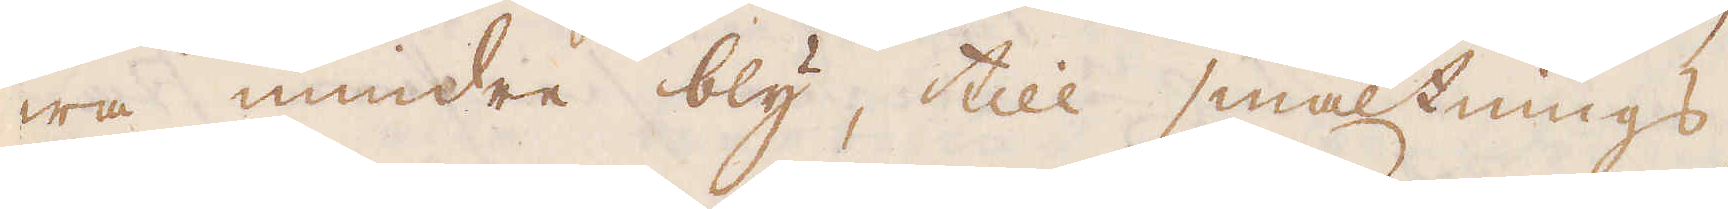wa mindre bly, till smältnings,
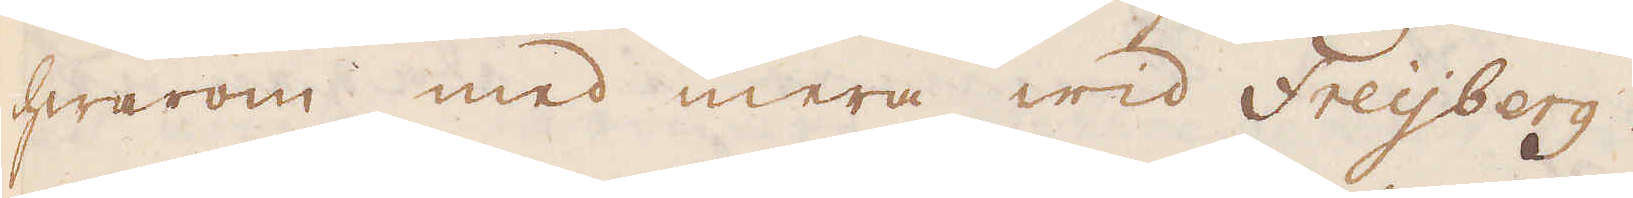hwarom med mera wid Freijberg.
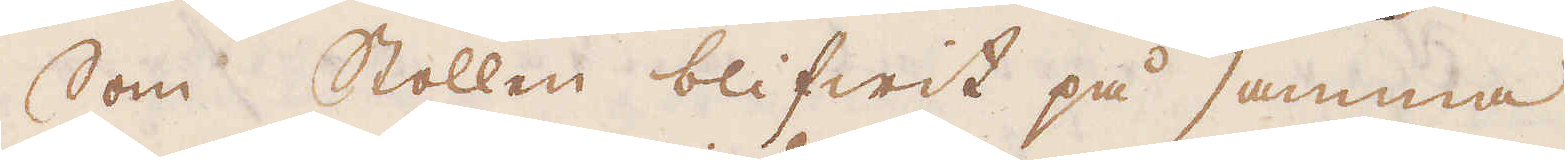Som Stollen blifwit på samma
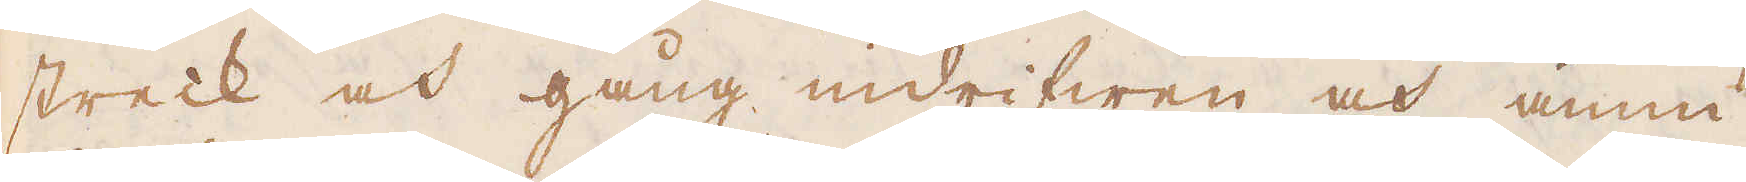streck och gång indrifwen och ännu
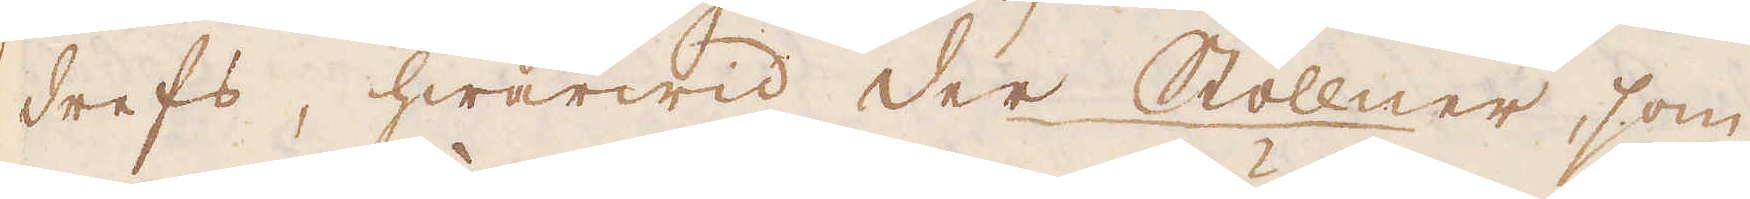drefs, hwarwid der Stöllner, som
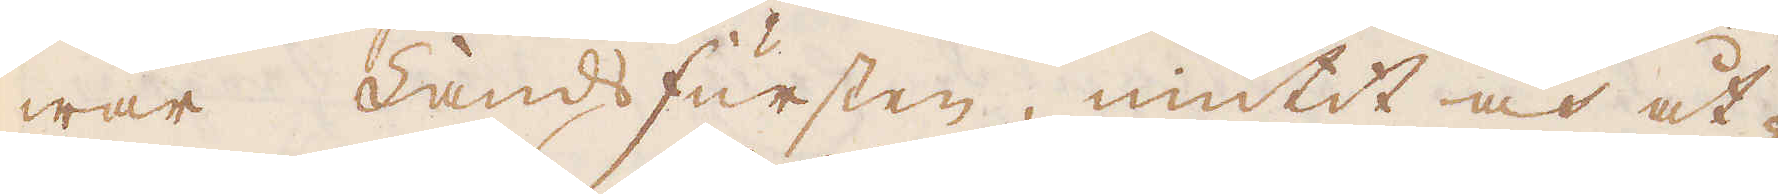war Landsfursten, niutit och åt-
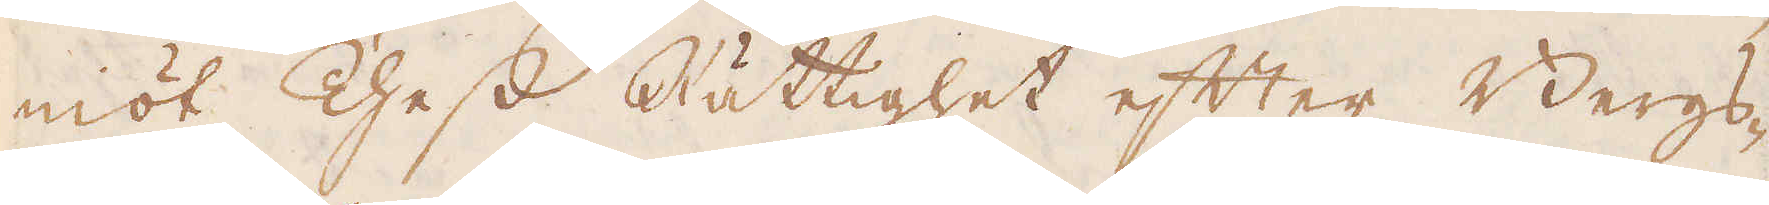niöt Thess Rättighet efter Bergs-
